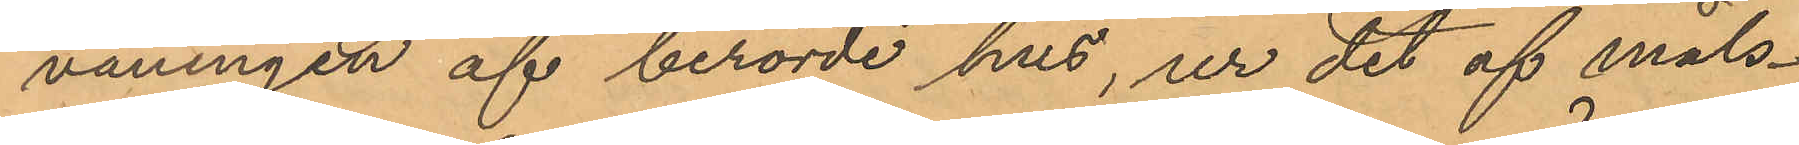våningen af berörde hus, ur det af måls¬
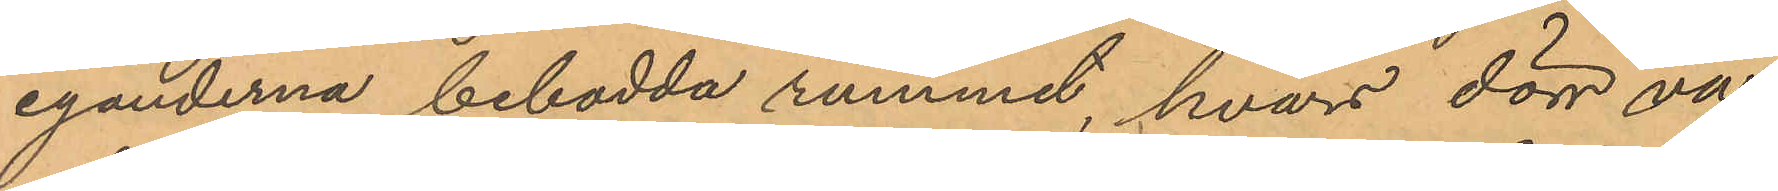eganderna bebodda rummet, hvars dörr va¬
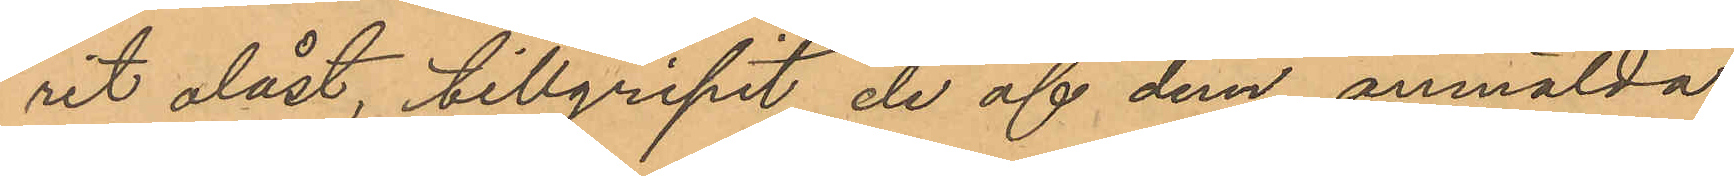rit olåst, tillgripit de af dem anmälda
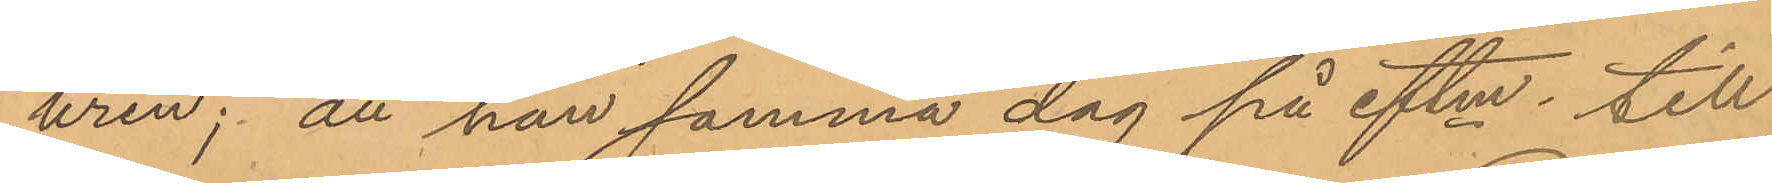uren; att han samma dag på eftm till
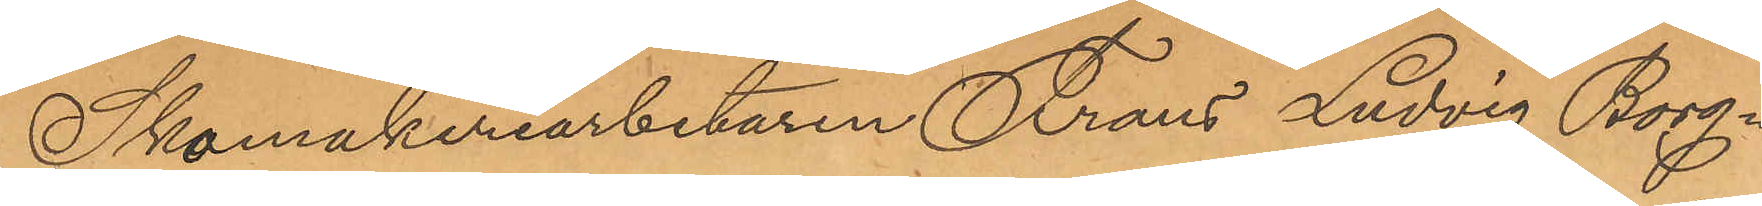Skomakeriarbetaren Frans Ludvig Borg¬
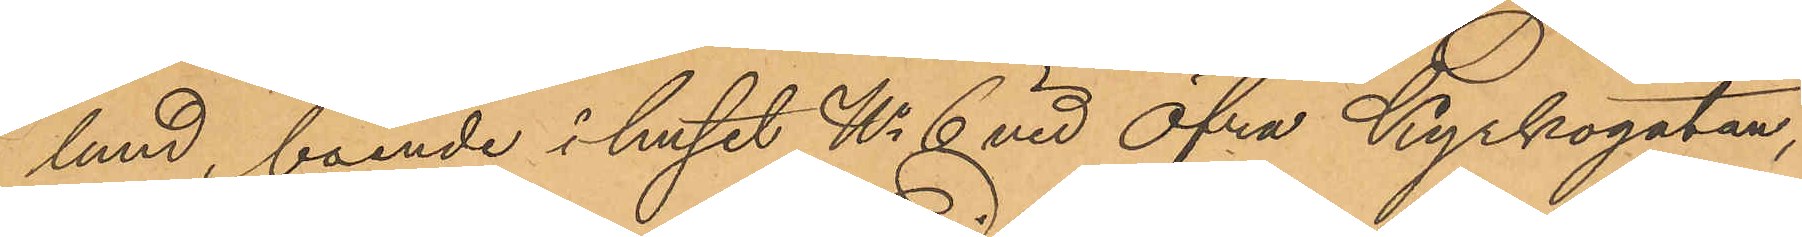lund, boende i huset No 6 vid Öfra Kyrkogatan,
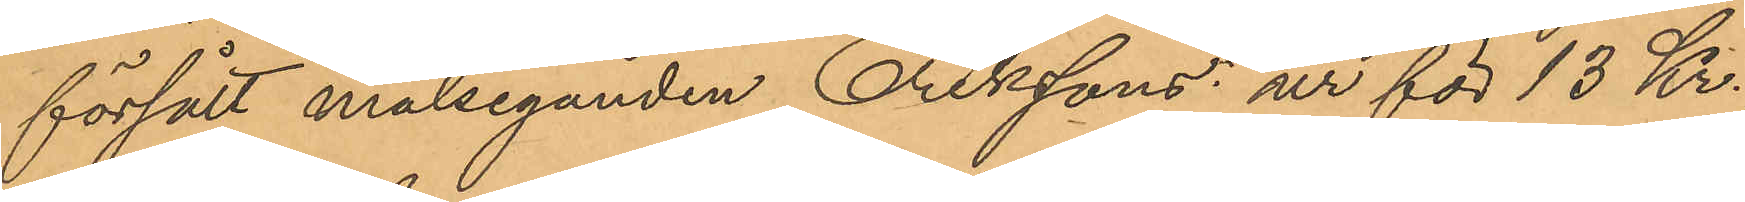försålt målseganden Erikssons ur för 13 Kr,
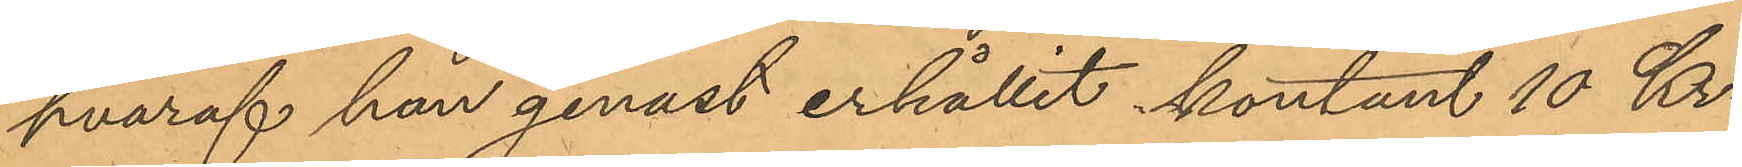hvaraf han genast erhållit kontant 10 Kr;
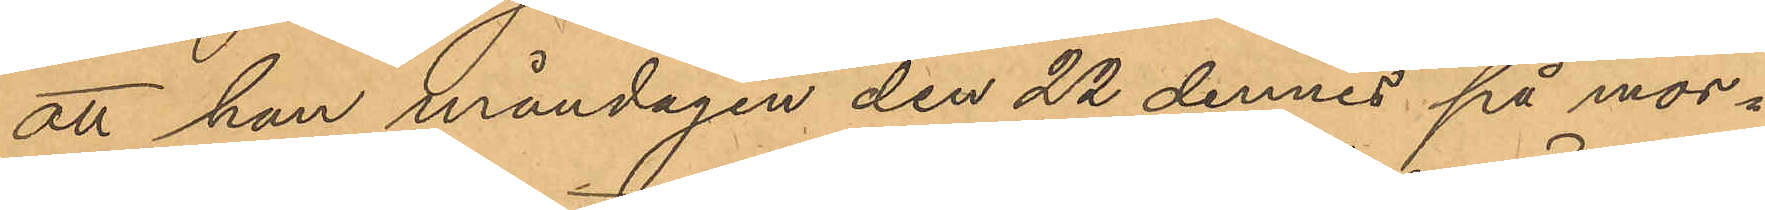att han måndagen den 22 dennes på mor¬
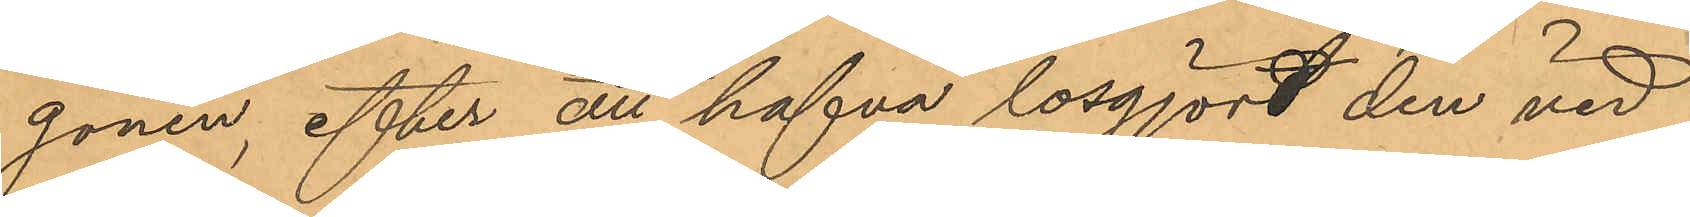gonen, efter att hafva lösgjort den vid
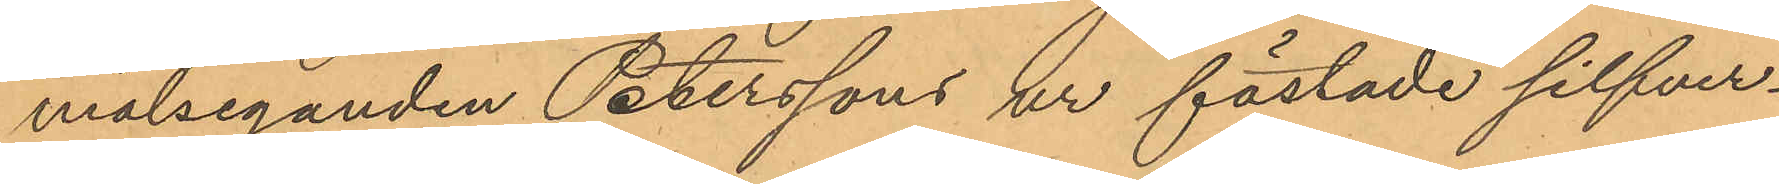målseganden Peterssons ur fästade silfver¬
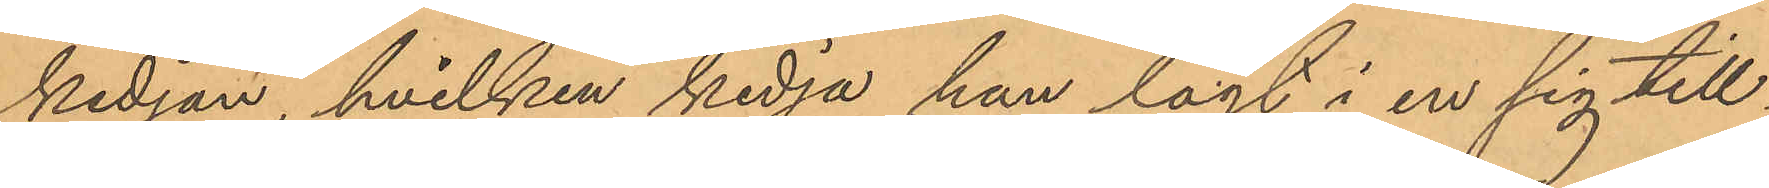kedjan, hvilken kedja han lagt i en sig till¬
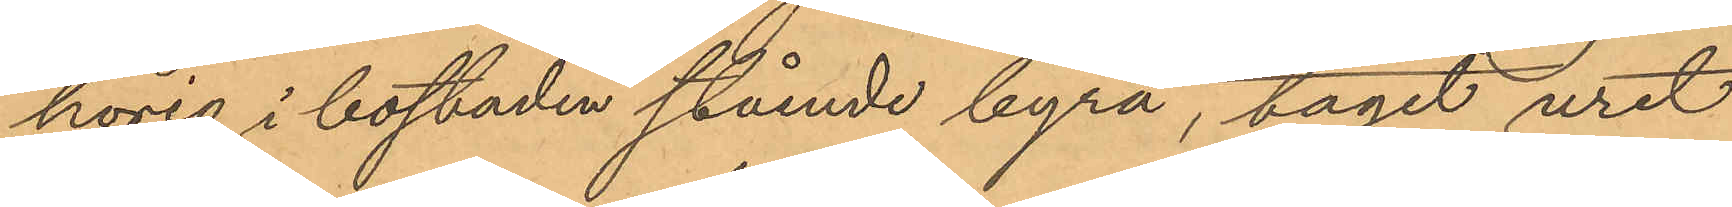hörig i bostaden stående byrå, tagit uret
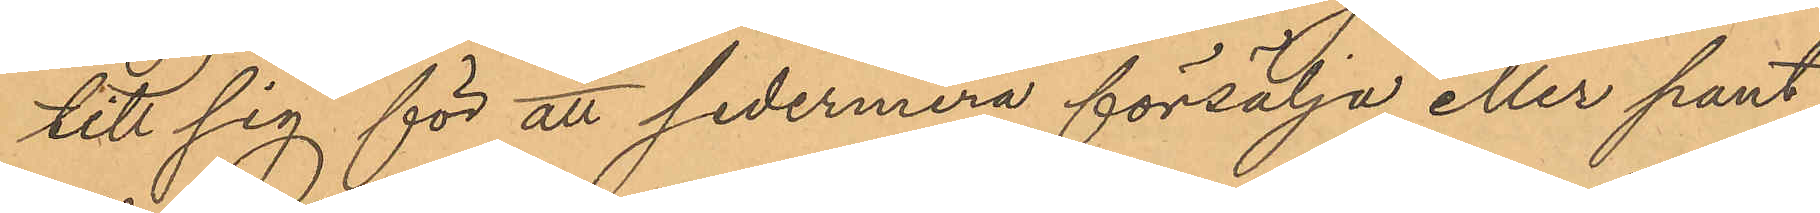till sig för att sedermera försälja eller pant¬
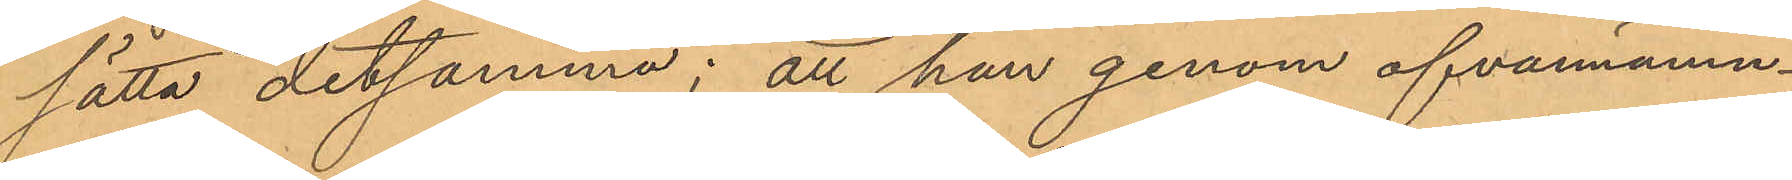sätta detsamma; att han genom ofvannämn¬
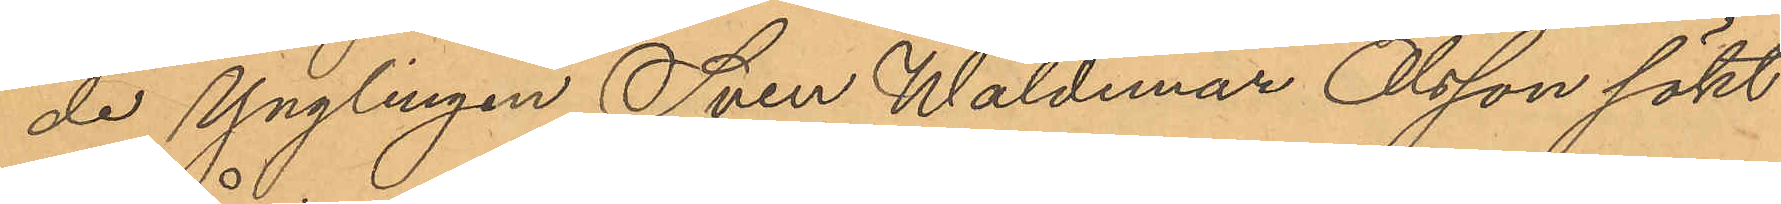de Ynglingen Sven Waldemar Olsson sökt
